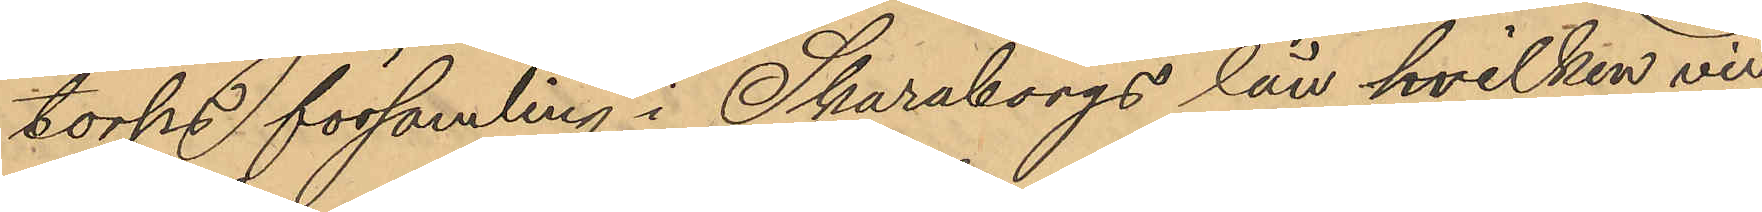torps församling i Skaraborgs län hvilken vid
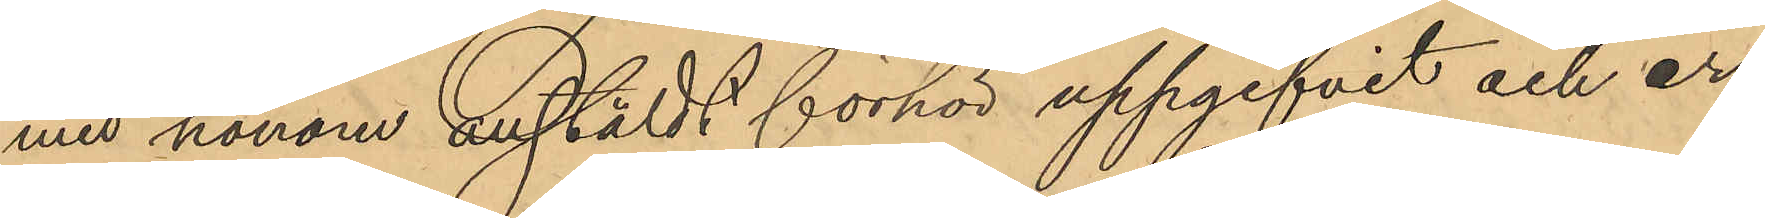med honom anstäldt förhör uppgifvit och er¬
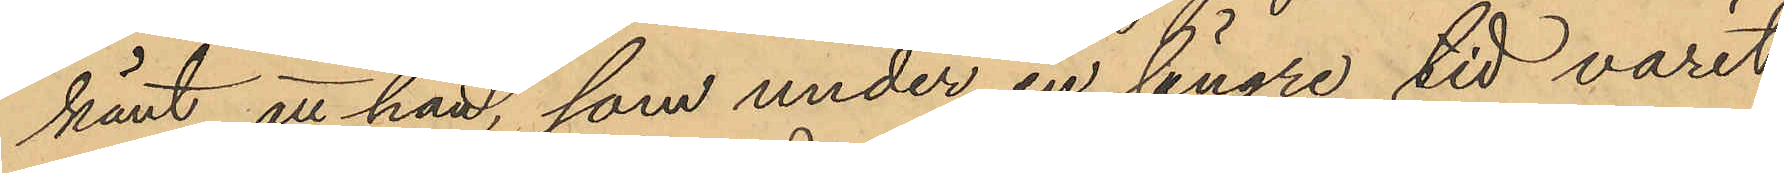känt, att han, som under en längre tid varit
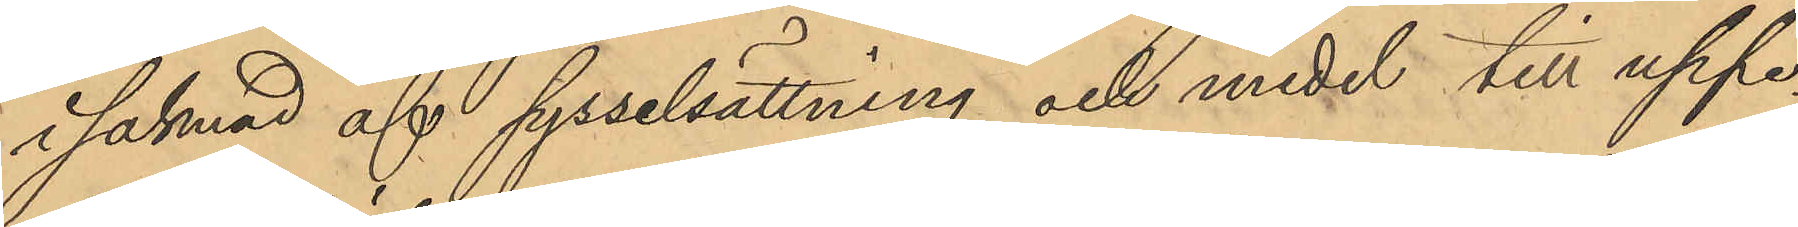i saknad af sysselsättning och medel till uppe¬
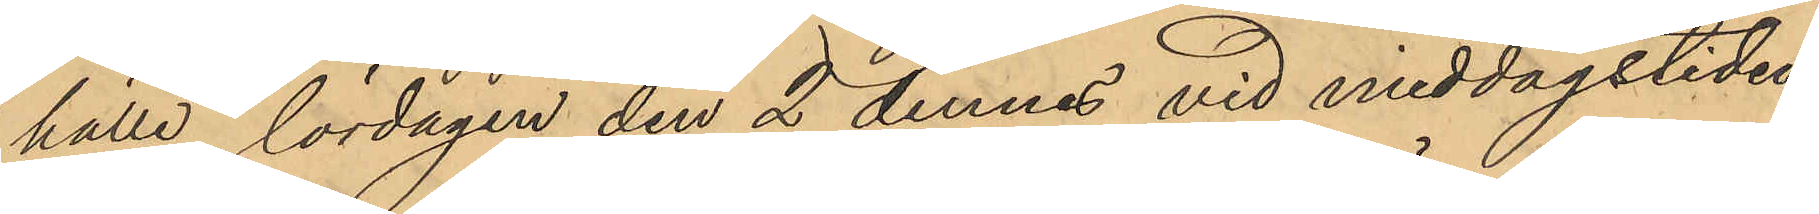hälle, lördagen den 2 dennes vid middagstiden,
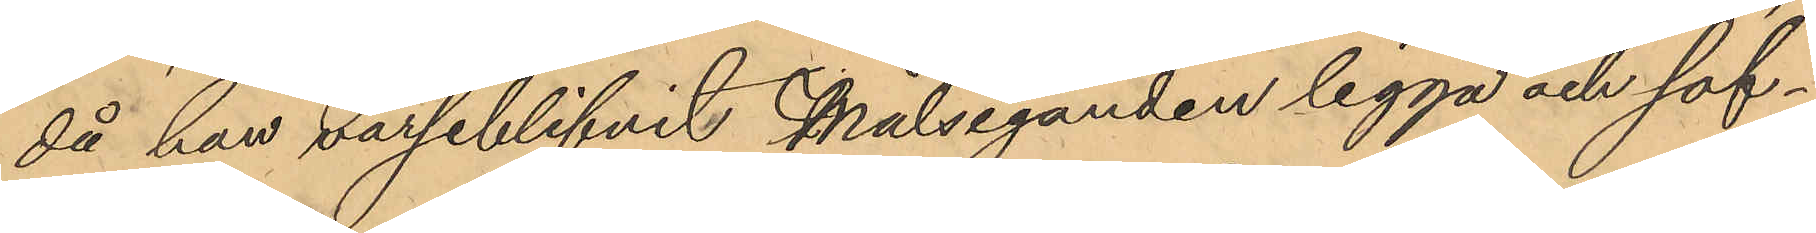då han varseblifvit Målseganden ligga och sof¬
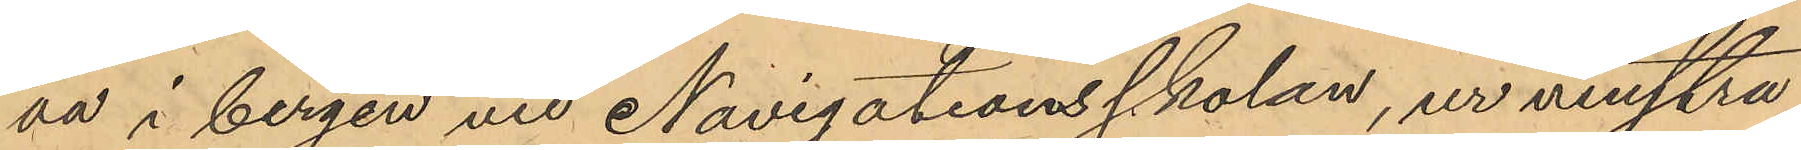va i bergen vid Navigationsskolan, ur venstra
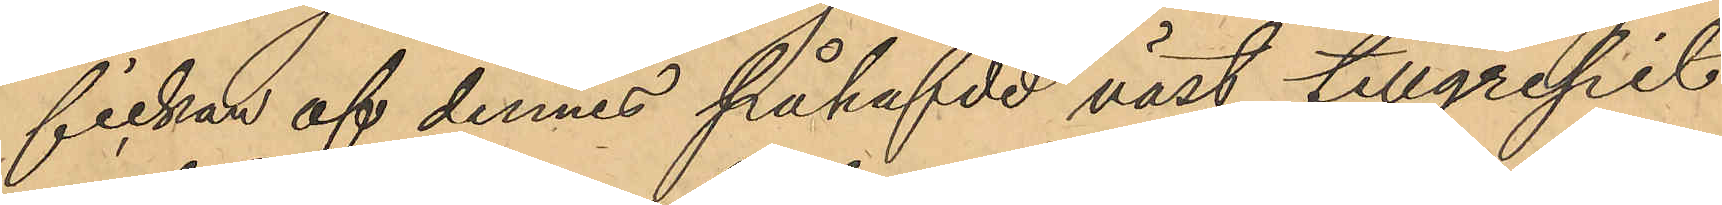fickan af dennes påhafvde väst tillgripit
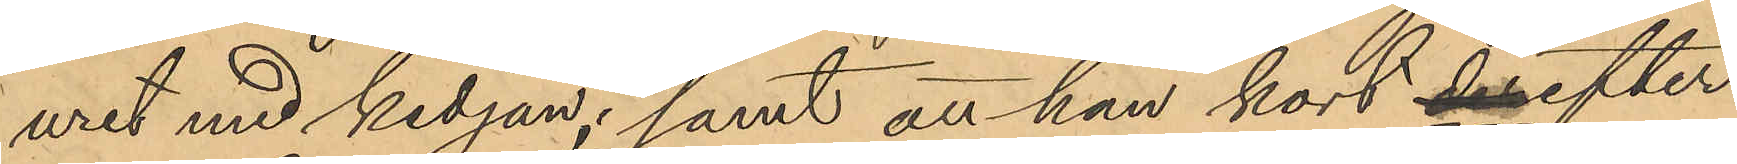uret med kedjan; samt att han kort derefter
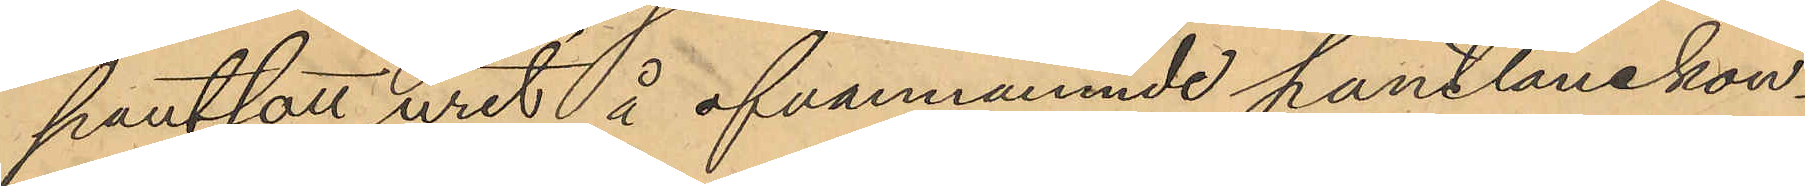pantsatt uret å ofvannämnde pantlånekon¬
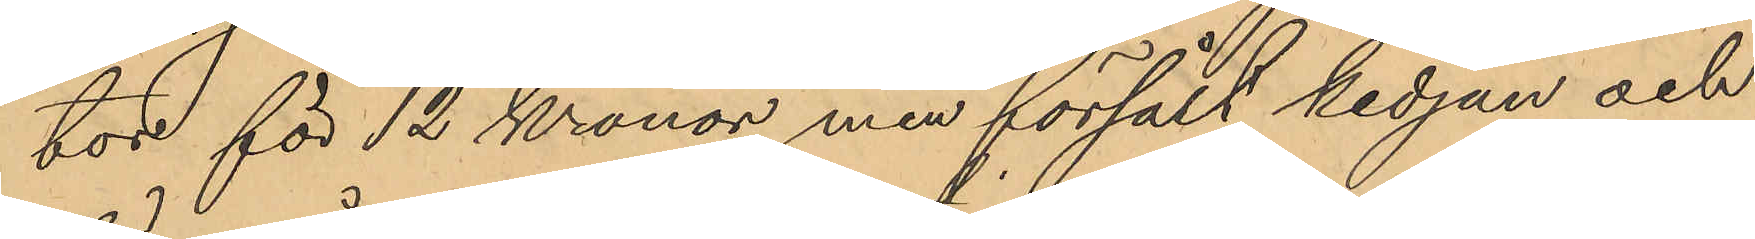tor för 12 Kronor men försålt kedjan och
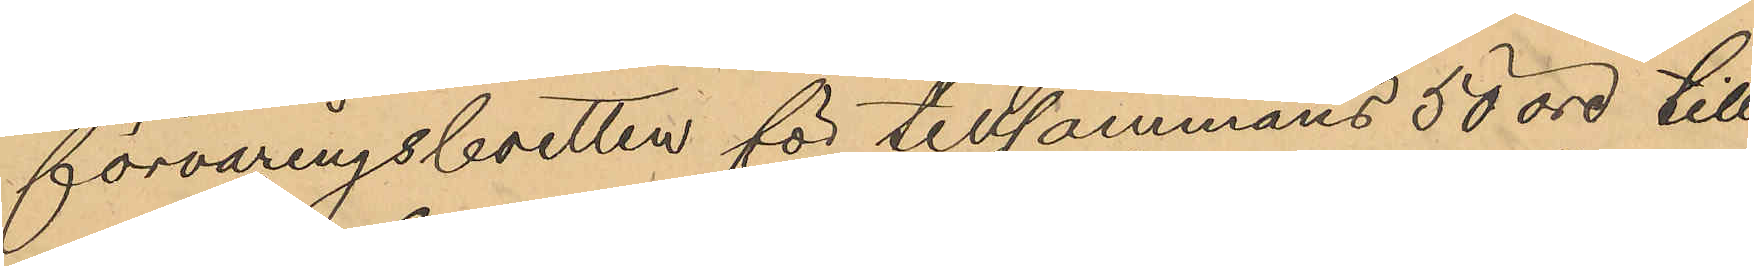förvaringsboetten för tillsammans 50 öre till
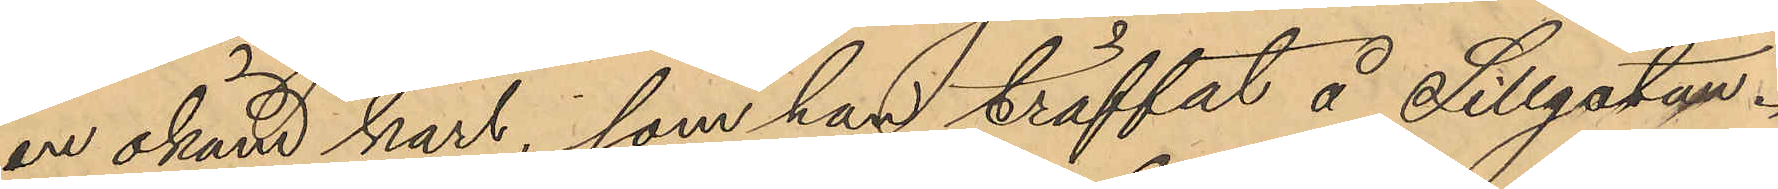en okänd karl, som han träffat å Sillgatan.
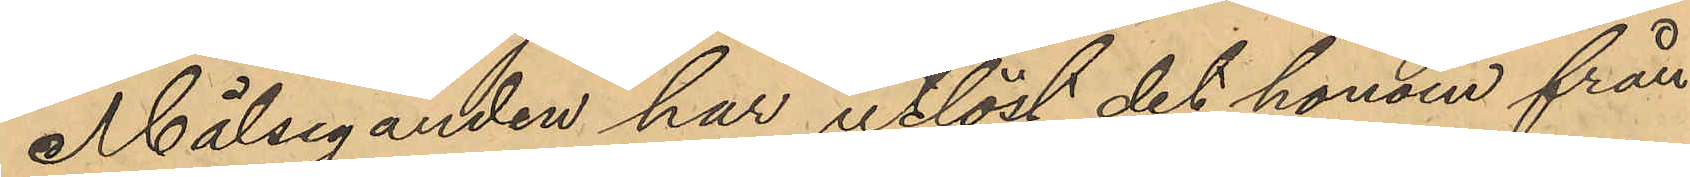Målseganden har utlöst det honom från¬
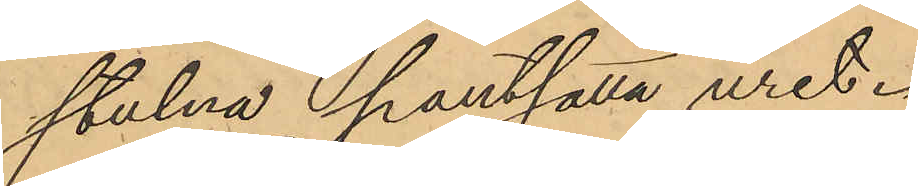stulna pantsatta uret.
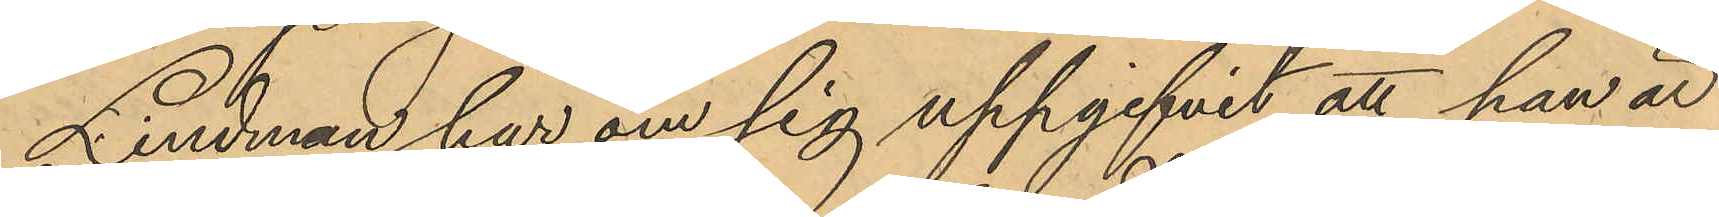Lindman har om sig uppgifvit, att han är
